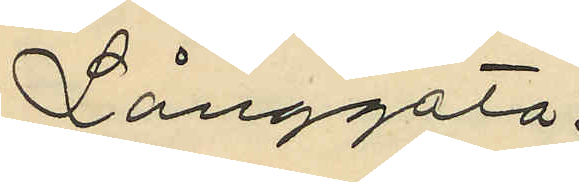Långgata.
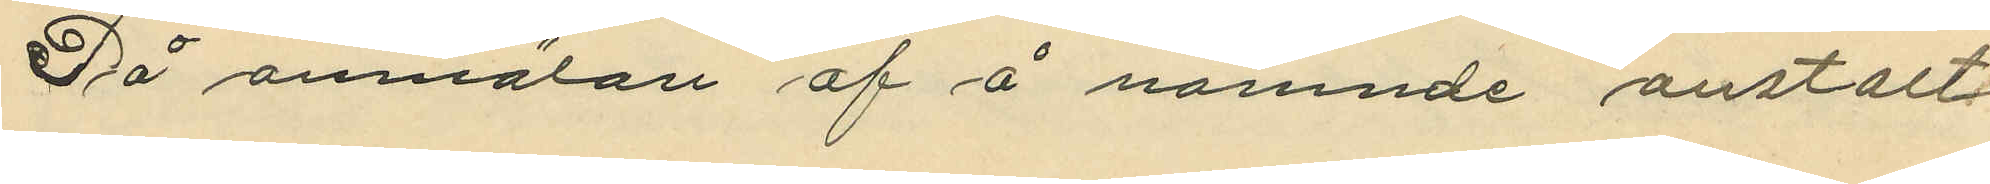Då anmälan af å nämnde anstalt
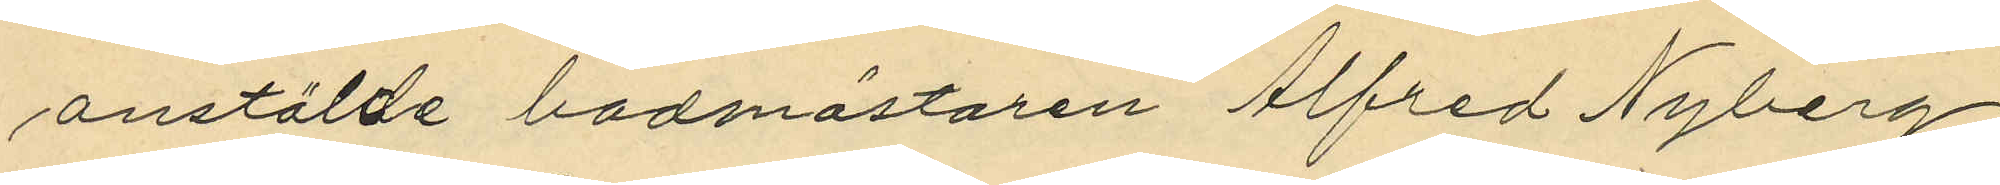anstälde badmästaren Alfred Nyberg,
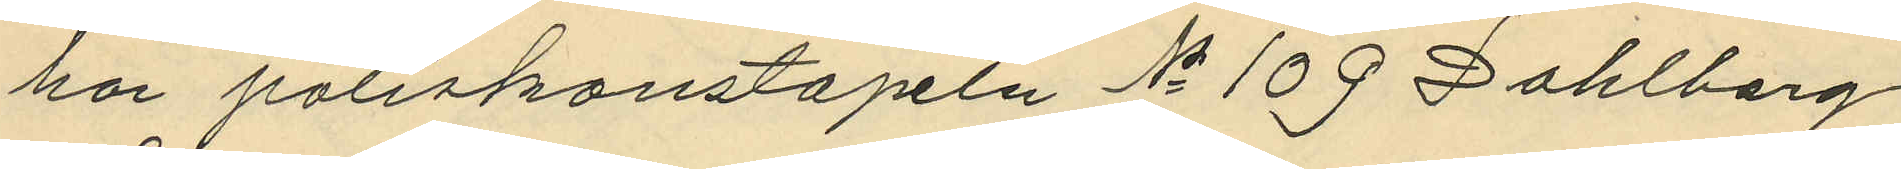har poliskonstapeln No 109 Dahlberg
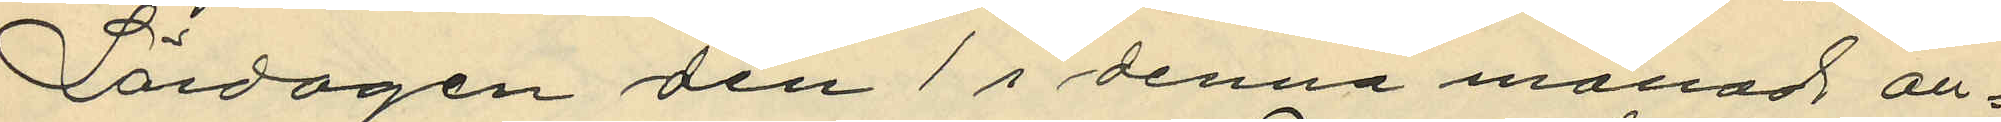Lördagen den 1 i denna månad an¬
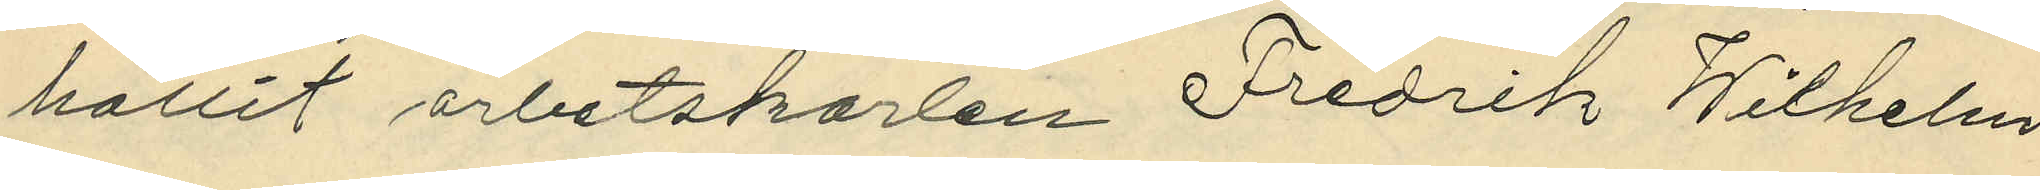hållit arbetskarlen Fredrik Wilhelm
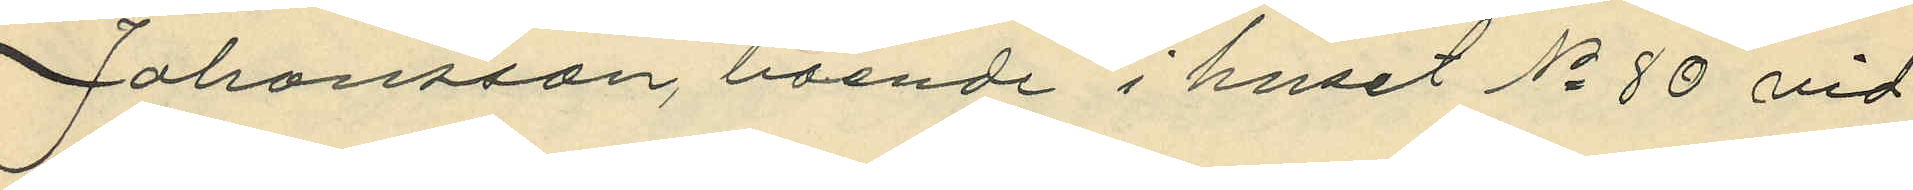Johansson, boende i huset No 80 vid
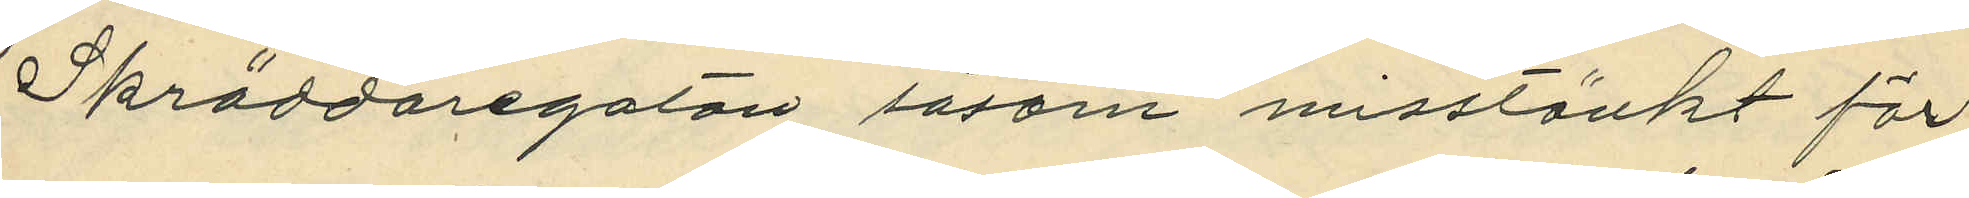Skräddaregatan såsom misstänkt för
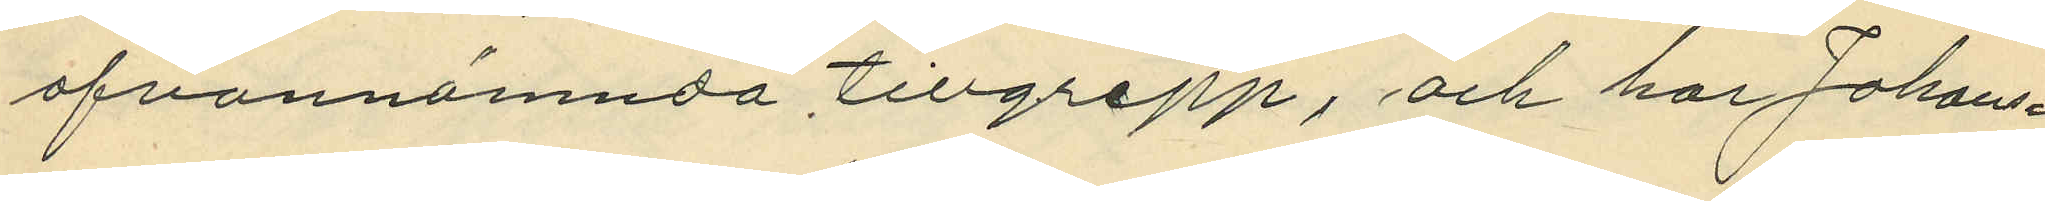ofvannämnda tillgrepp, och har Johans¬
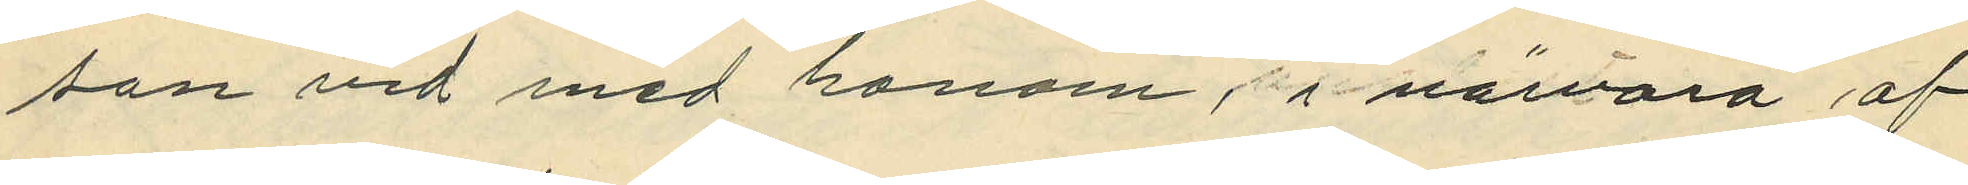son vid med honom, i närvaro af
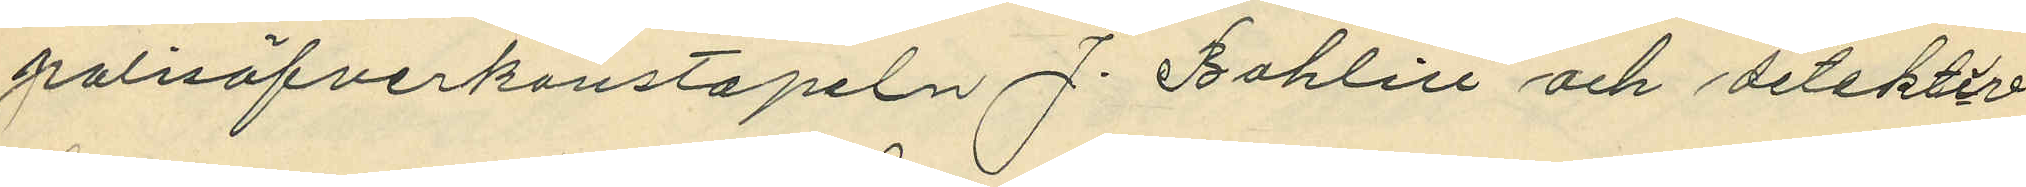polisöfverkontapeln J. Bohlin och detektiv¬
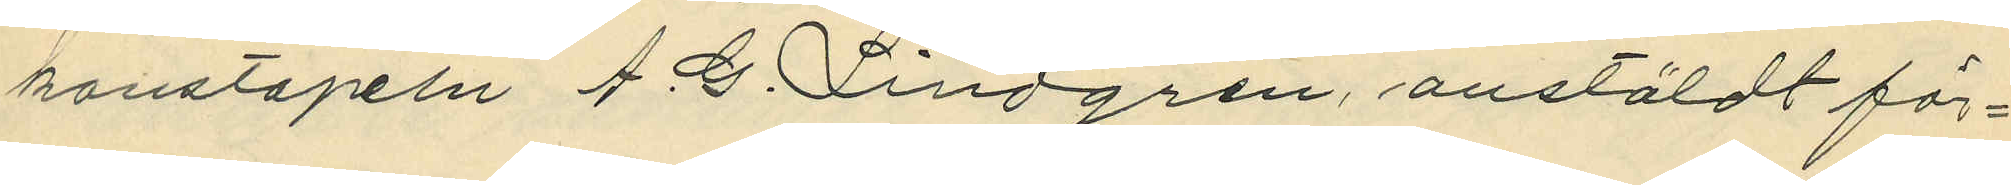konstapeln A.G. Lindgren, anstäldt för¬
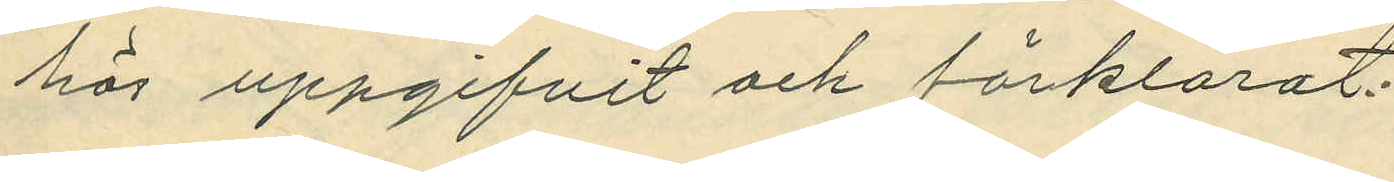hör uppgifvit och förklarat:
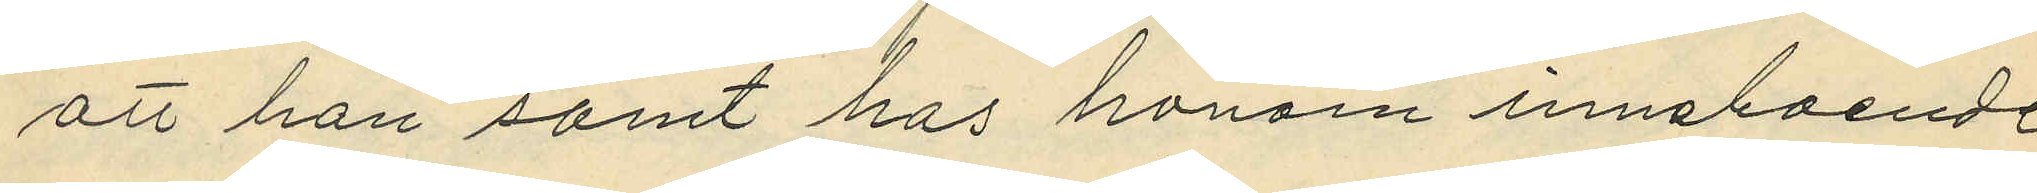att han samt hos honom inneboende
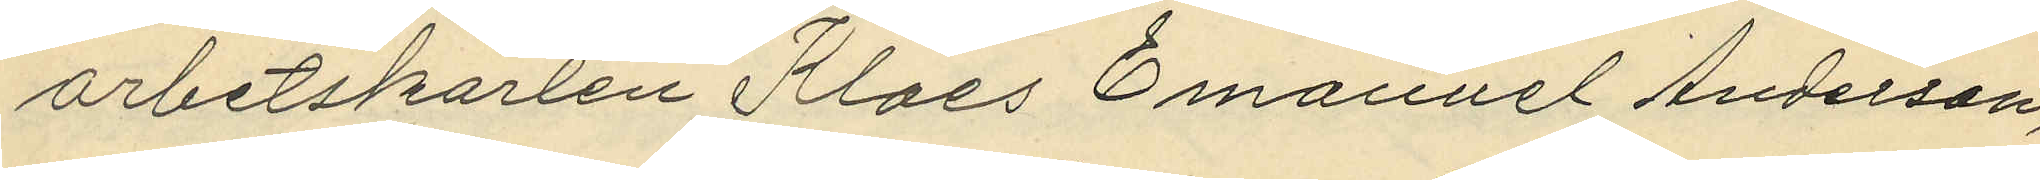arbetskarlen Klaes Emanuel Andersson,
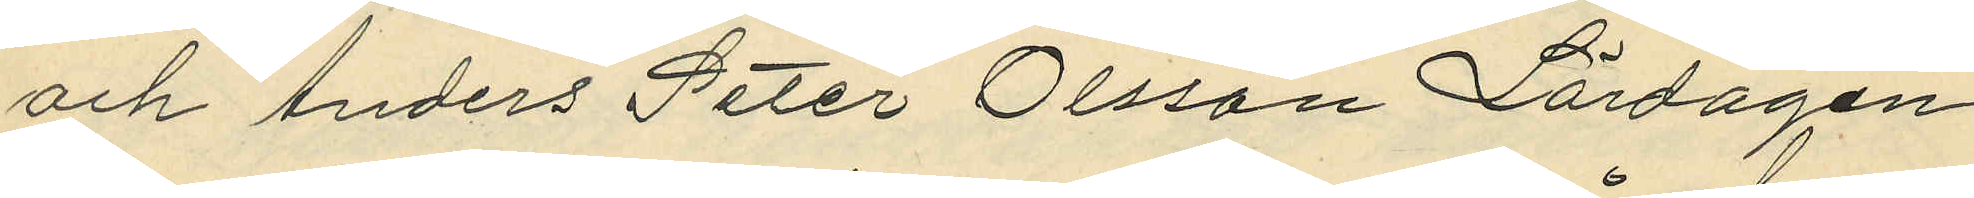och Anders Peter Olsson Lördagen
